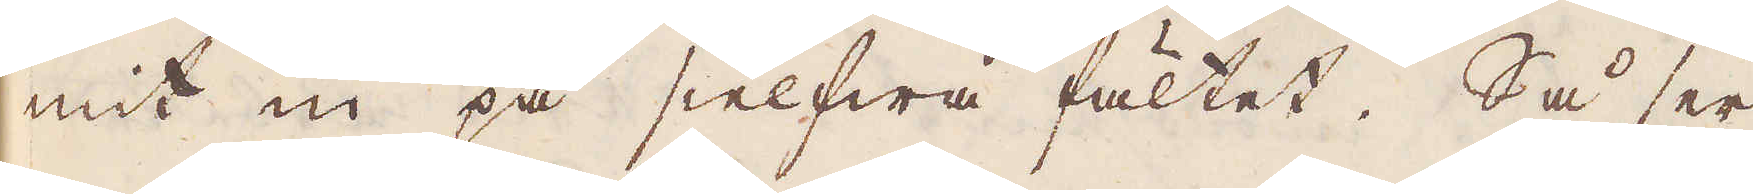mitt in på sielfwa fältet. Så ser
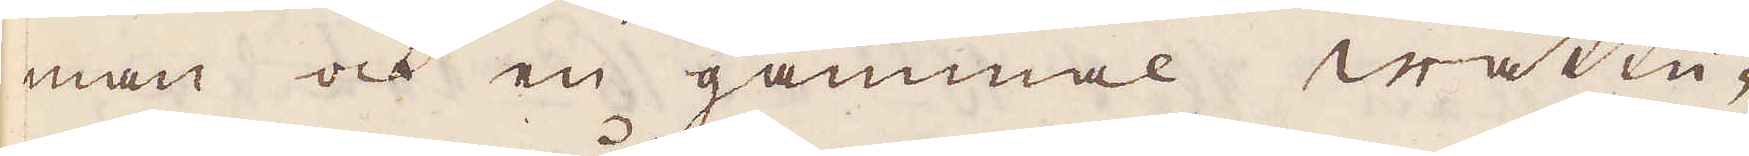man och en gammal wattu-
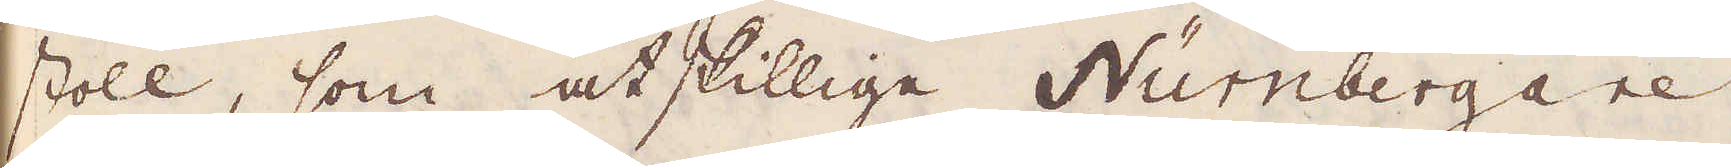stoll, som åtskillige Nürmbergare,
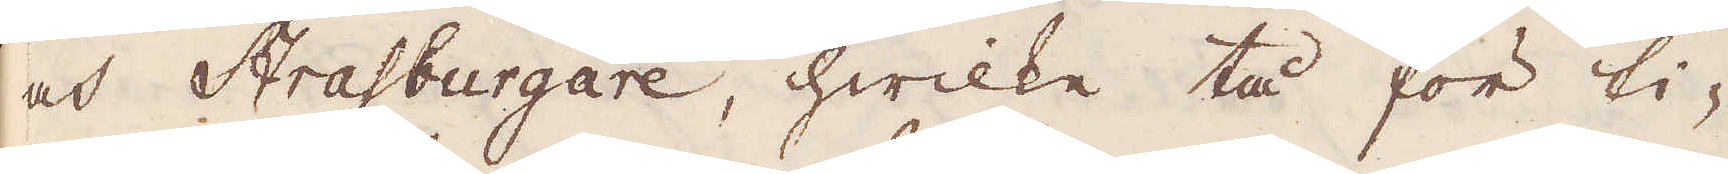och Strafburgare, hwilke tå för ti-
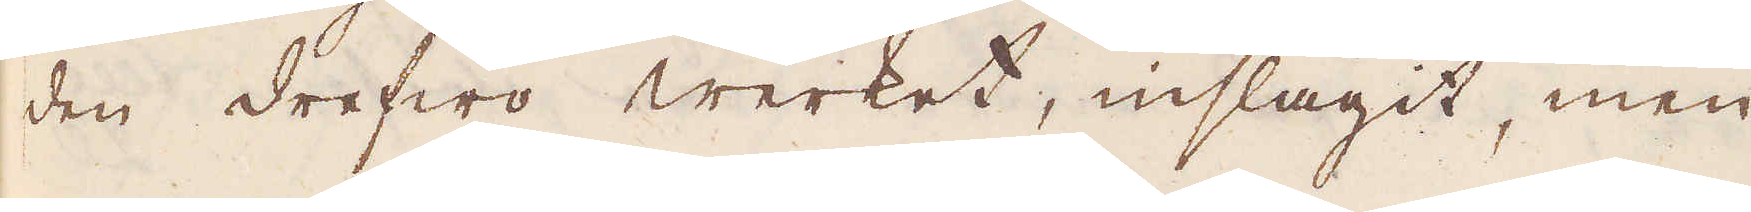den drefwo Werket inslagit, men
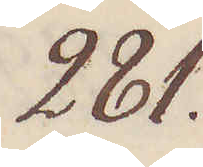281.
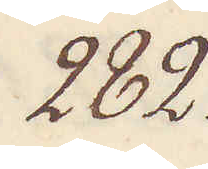282.
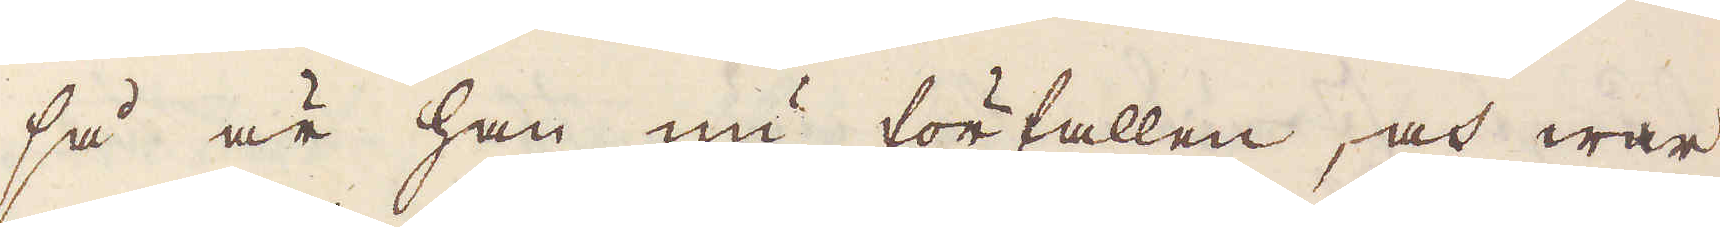så är han nu förfallen, och war
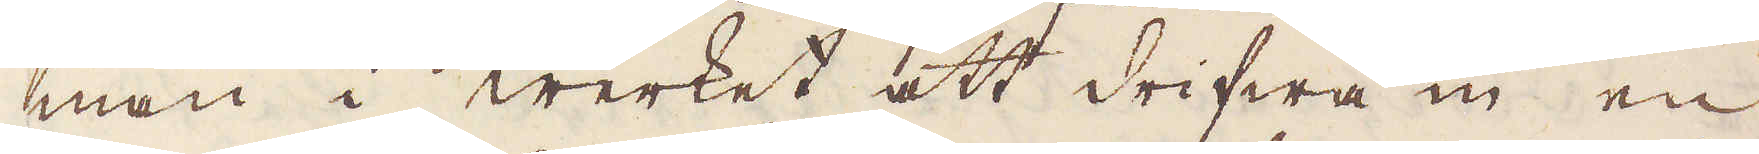man i werket att drifwa in en
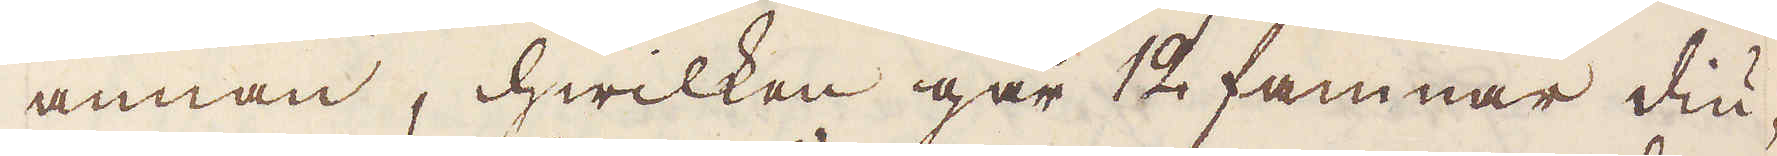annan, hwilken går 12 famnar diu-
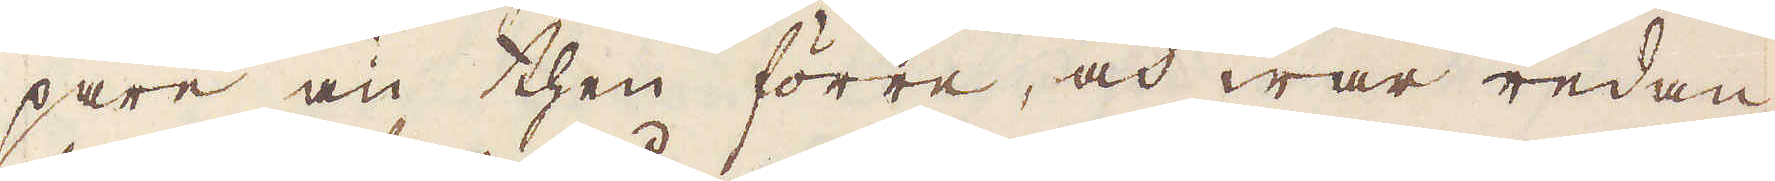pare än then förra, och war redan
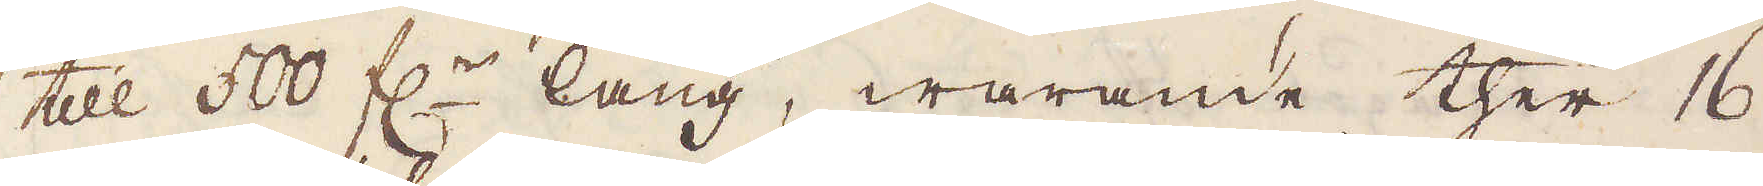till 500 f:r lång, warande ther 16
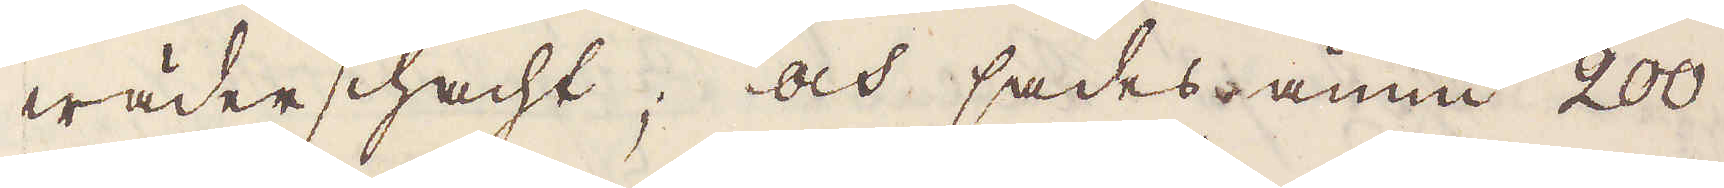wäderschacht; och sades ännu 200
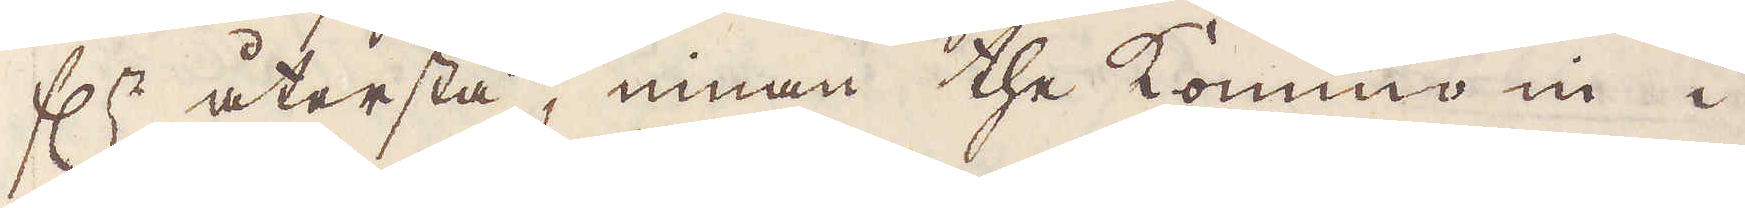f:r återstå, innan the komma in i
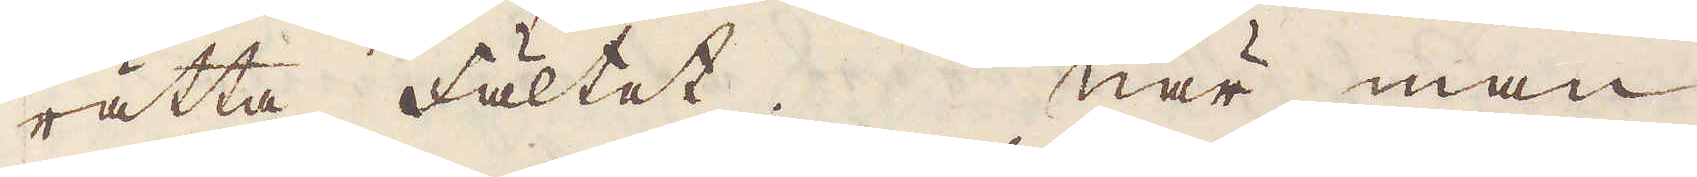rätta fältet. När man
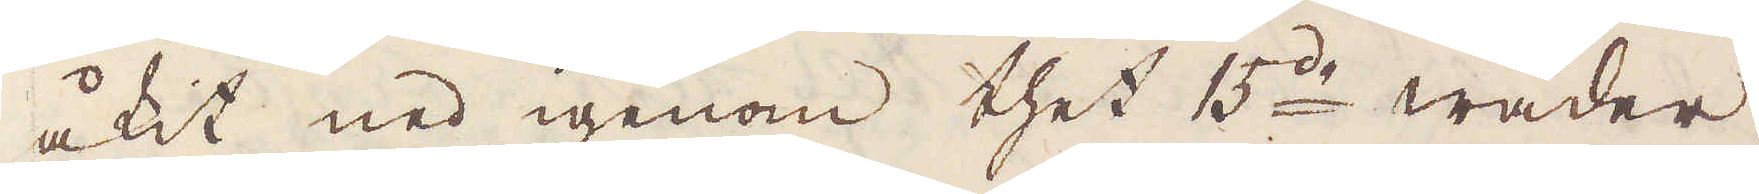åkit ned igenom thet 15:de wäder-
